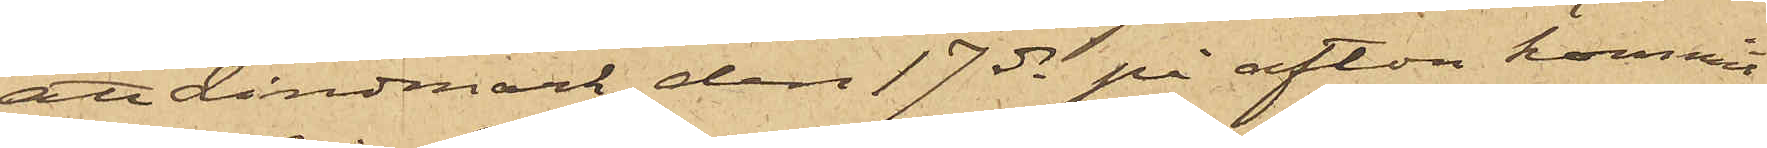att Lindmark den 17 ds på afton kommit
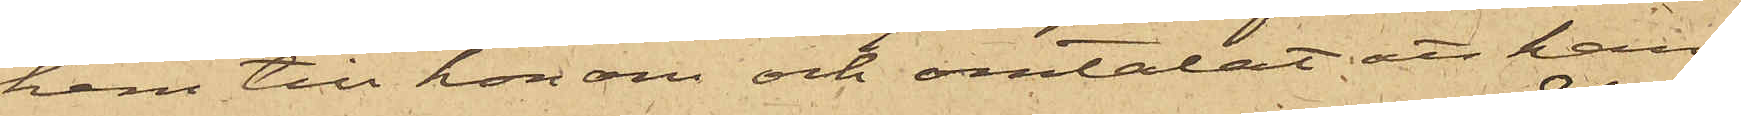hem till honom och omtalat att han
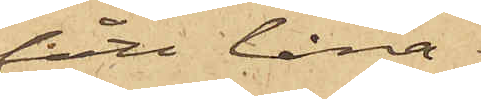fått låna
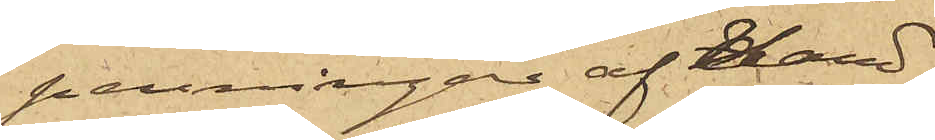penningar af Hand¬
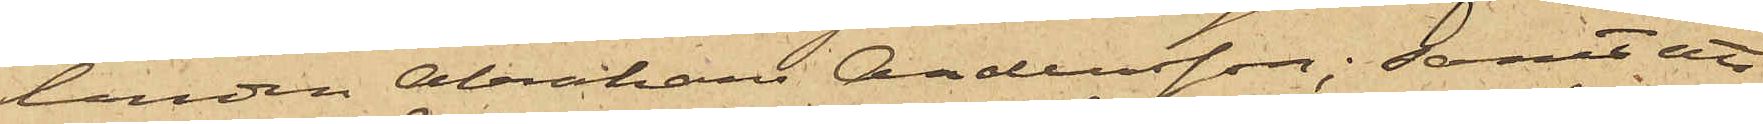landen Abraham Andersson; samt att
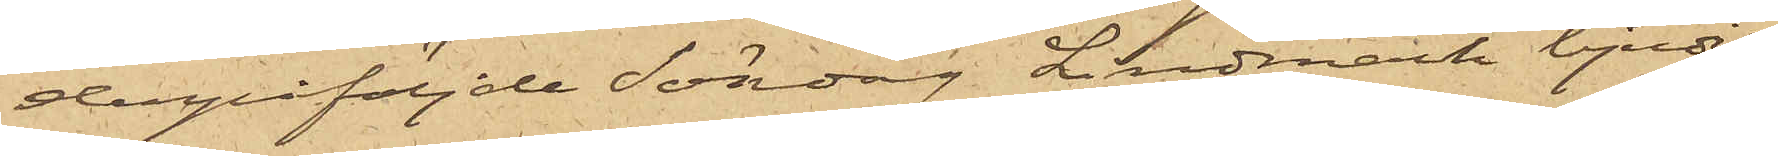derpåföljde Söndag Lindmark bjudit
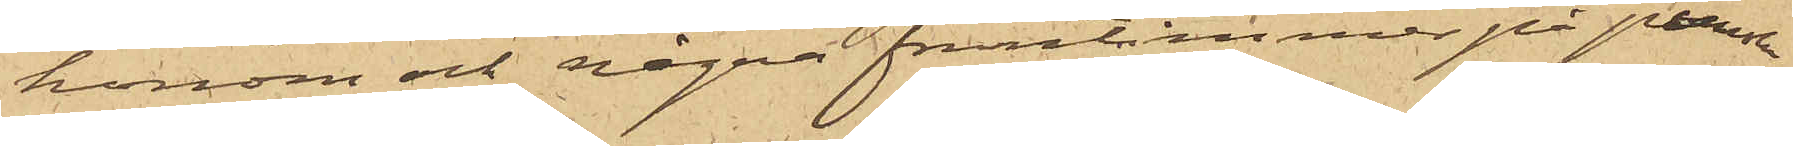honom och några fruntimmer på punsch
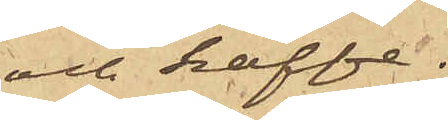och kaffe.
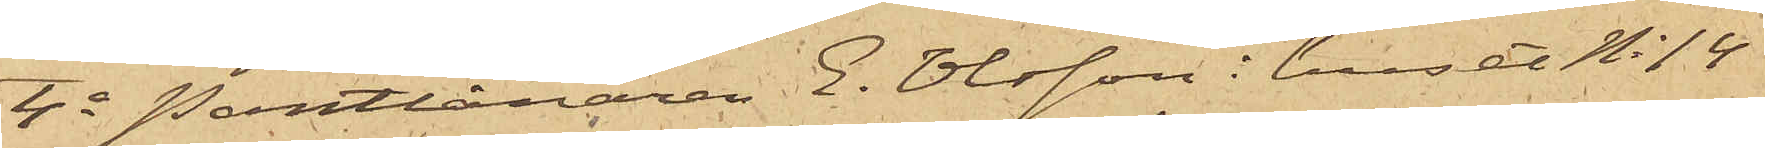4o Pantlånaren E. Olsson i huset No 14
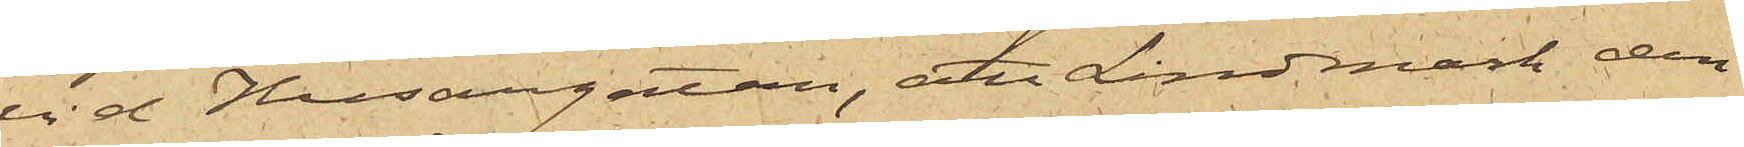vid Husargatan, att Lindmark den
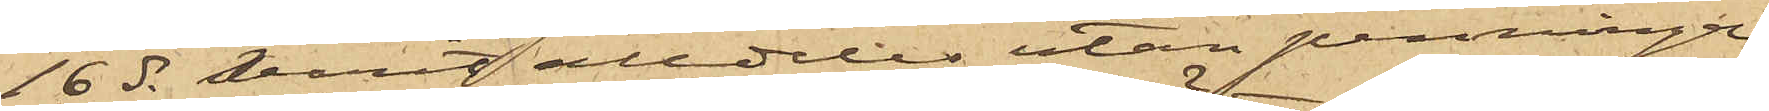16 ds varit alldeles utan penningar,
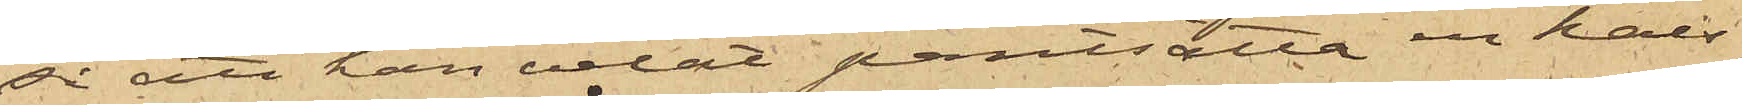så att han velat pantsätta en hals¬
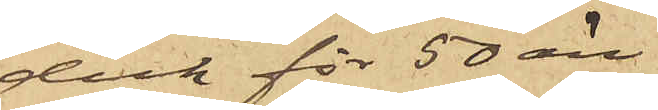duk för 50 öre.
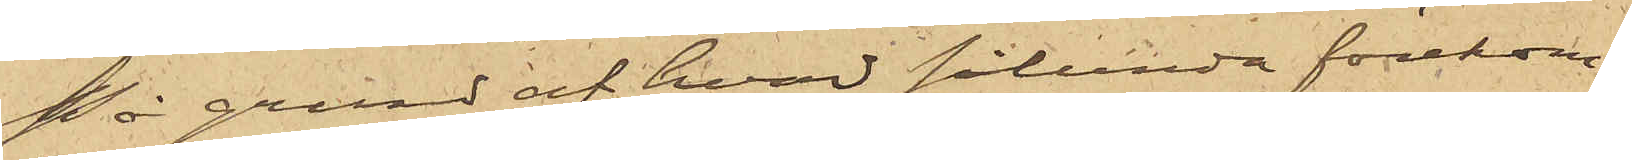På grund af hvad sålunda förekom¬
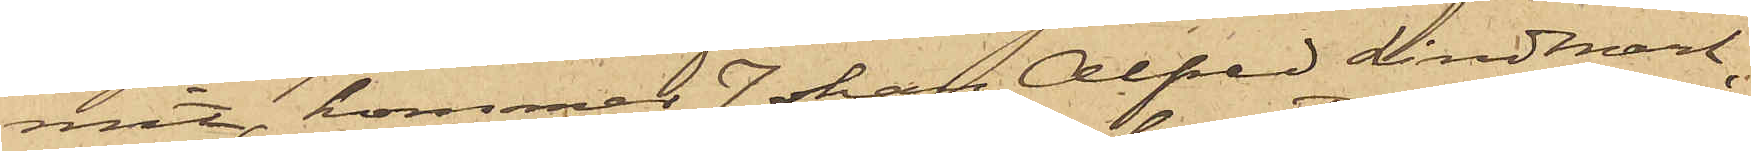mit, kommer Johan Alfred Lindmark,
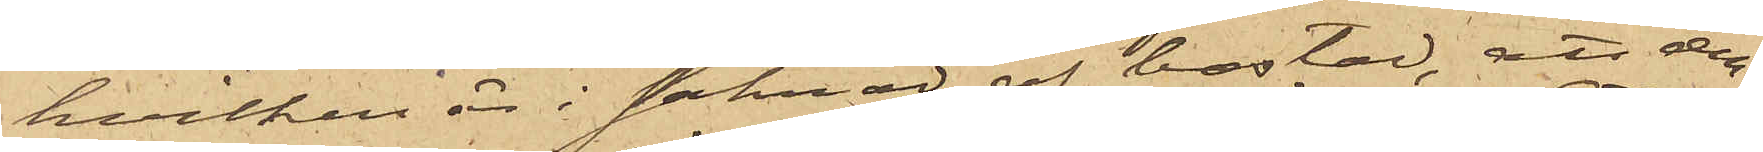hvilken är i saknad af bostad, att den¬
